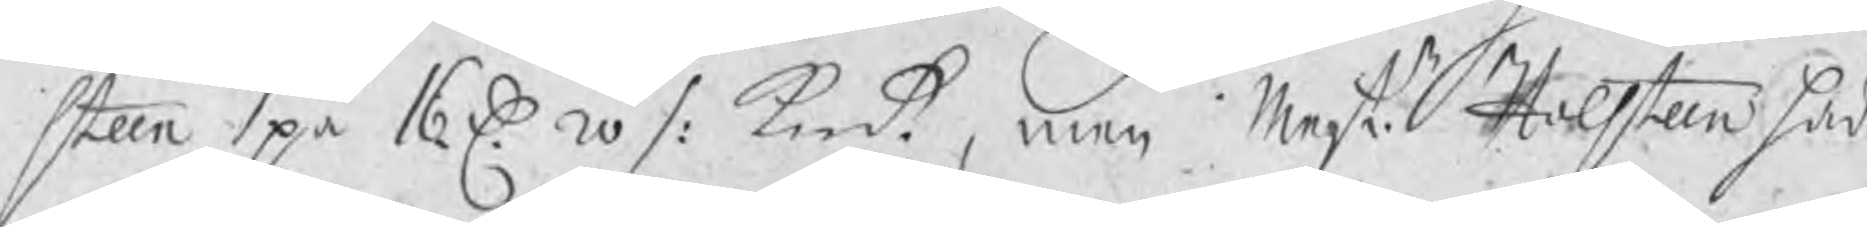steen på 16 D. 20 /: kmt, men Mestr Holsteen hade
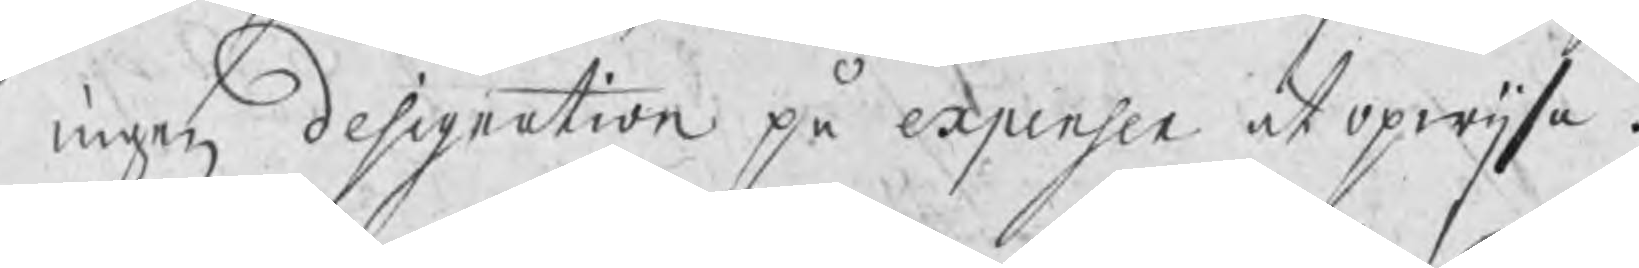ingen designation på expenser at opwijsa.
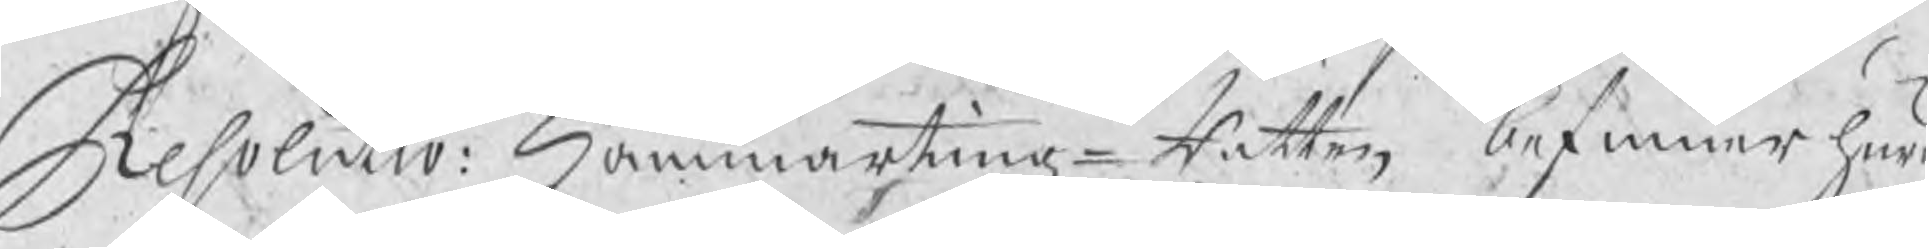Resolutio: Hammartingz¬Rätten befinner huru
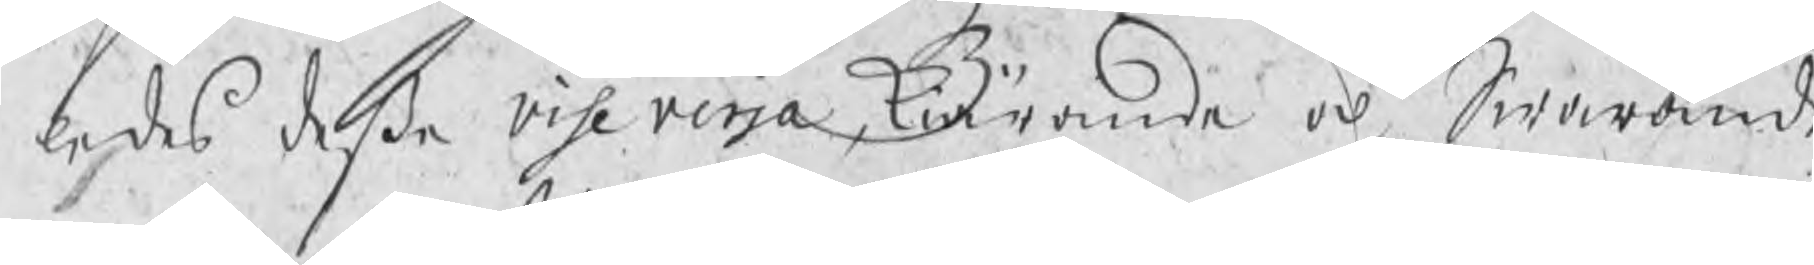ledes deße vise versa, Kiärande och Swarande
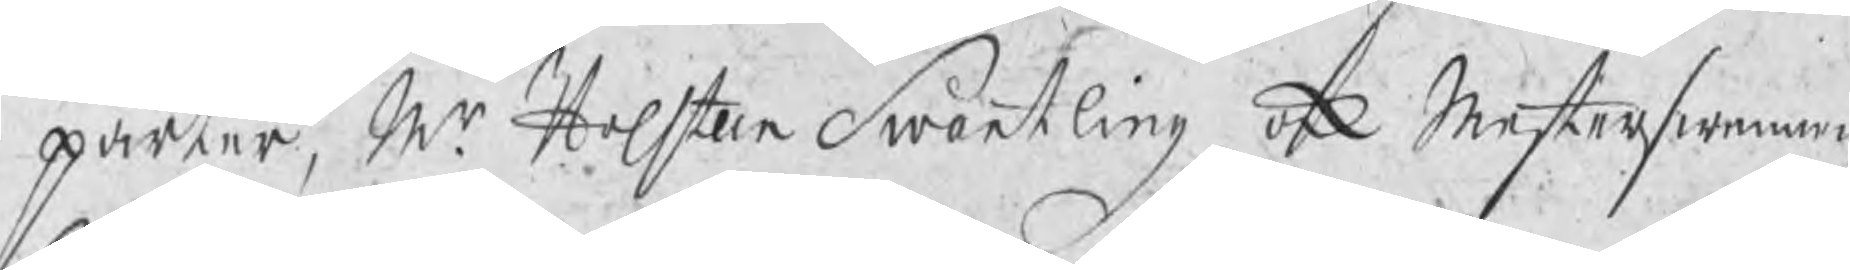parter, Mr Holsteen Swartling ock Mesterswennen
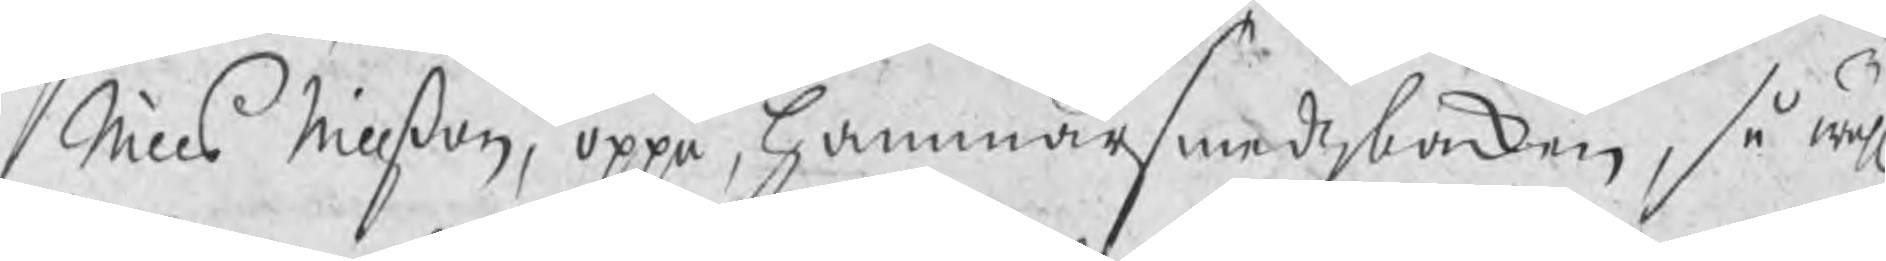Nills Nillßon, oppå Hammarsmedzbacken, så wähl
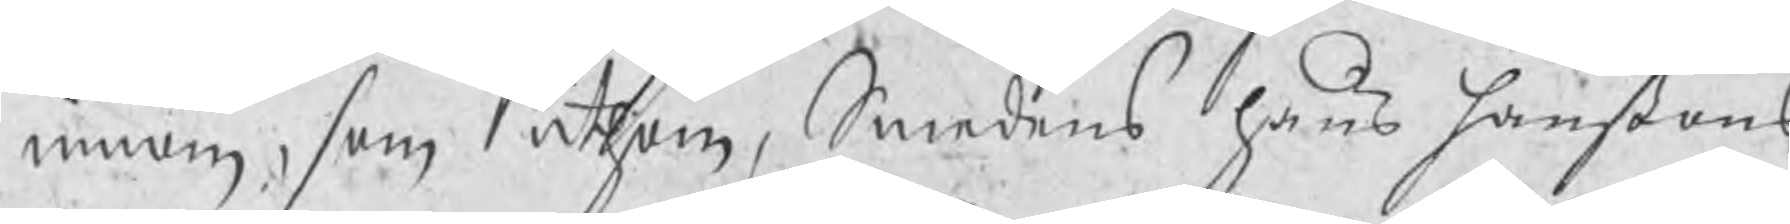innom, som uthom, Smedens hans hanßons
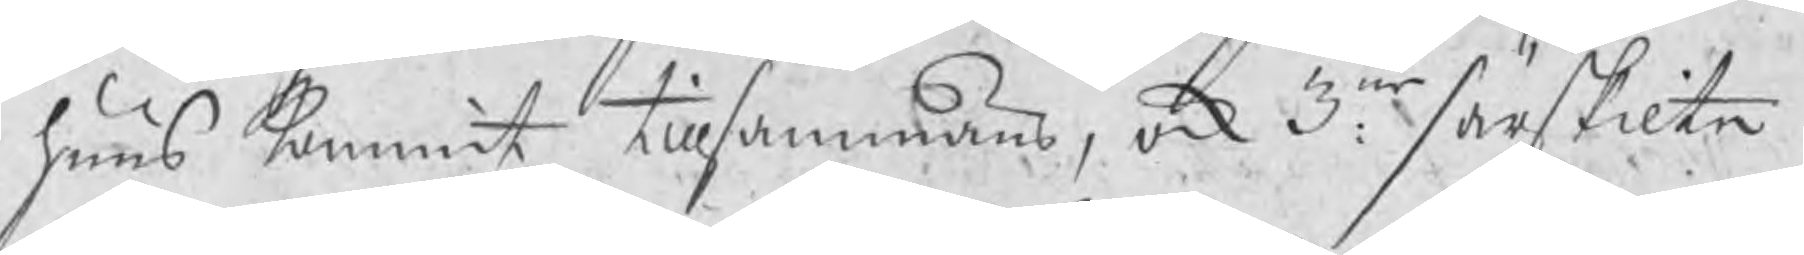huus kommit tillsammans, ock 3ne: särskilte
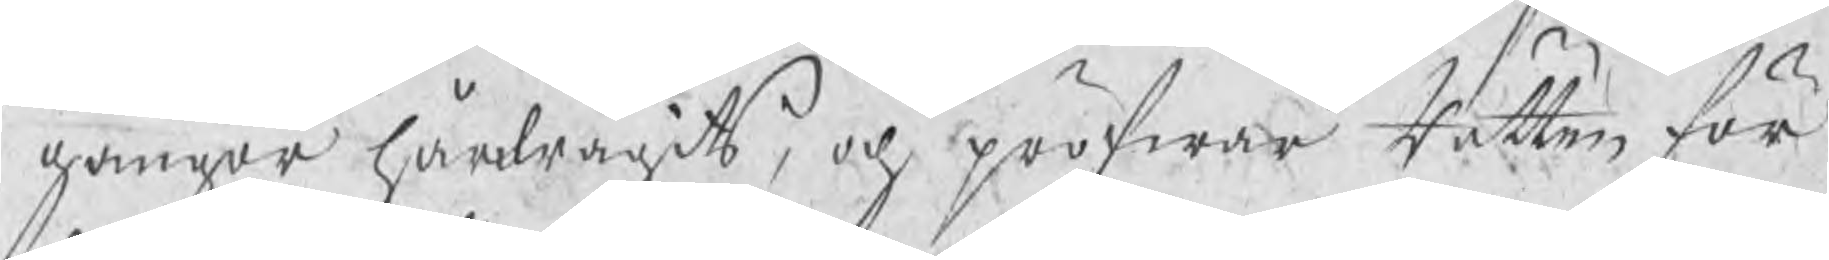gånger hårdragits, och pröfwar Rätten för
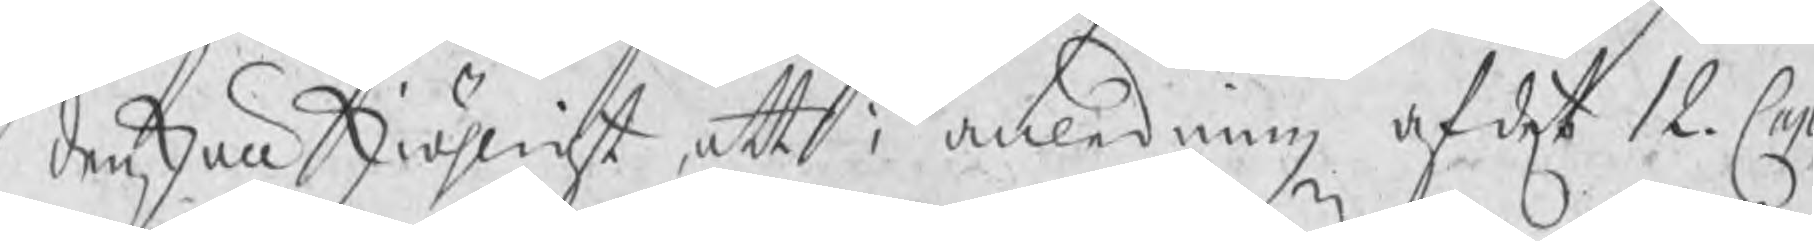denskull skiäligt, att i anledning af det 12. Cap.
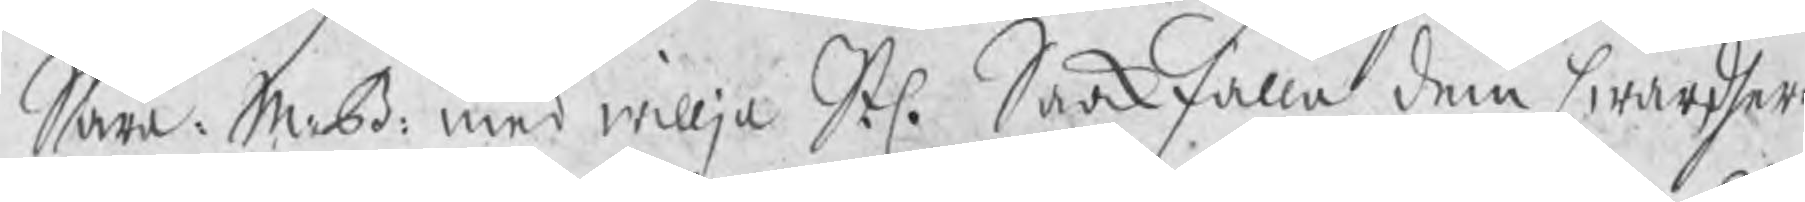Såra: M: B: med willja Stl. Saakfälla dem hwardhera
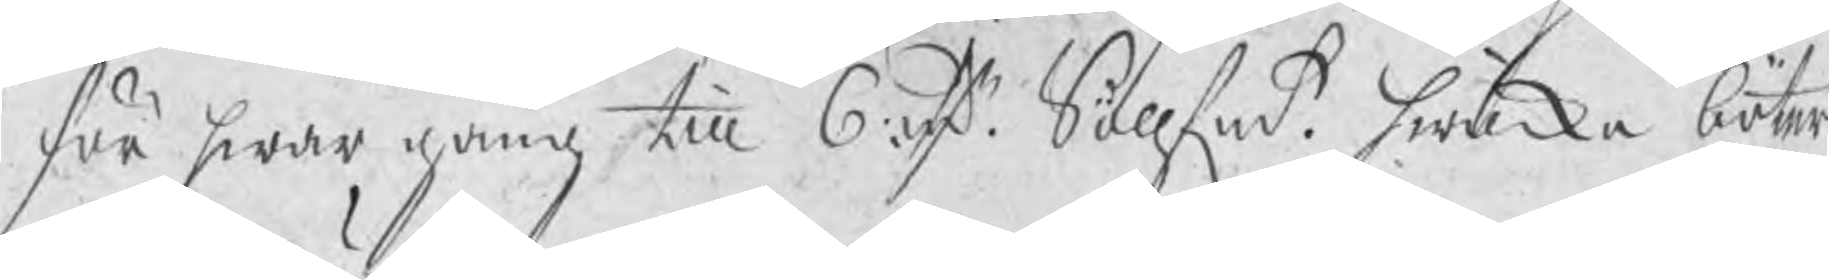för hwar gång till 6 rdr Söllfmt hwilka böter
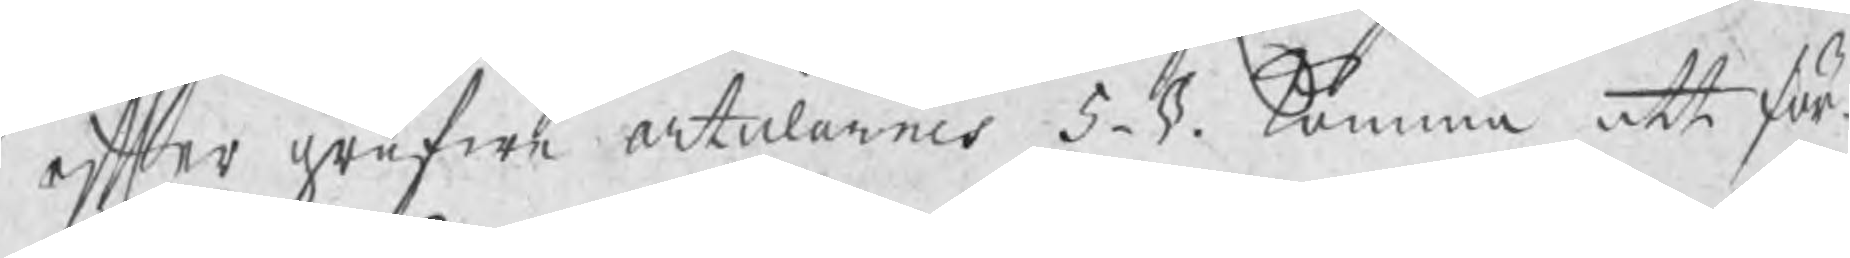efter grufwe articlarnes 5. §. komma att för¬
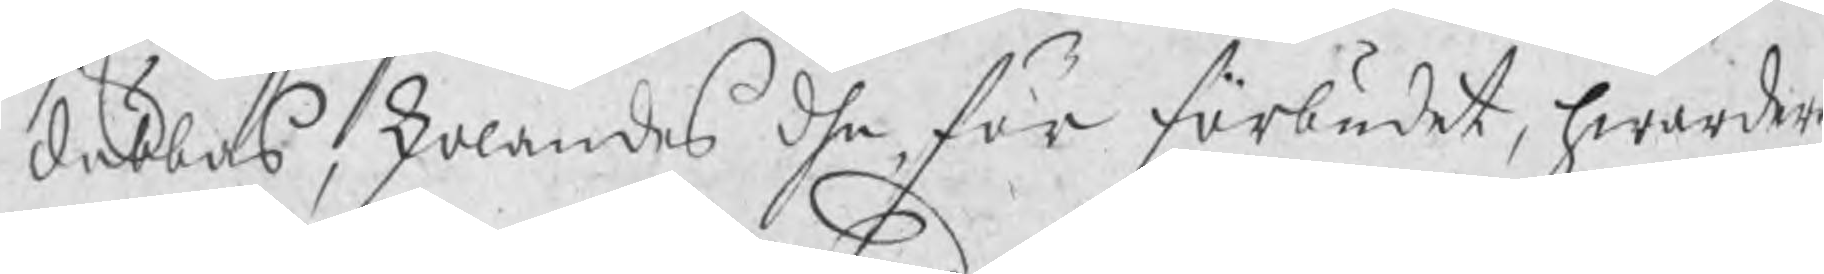dubbas, skolandes dhe, för förbudet, hwardera
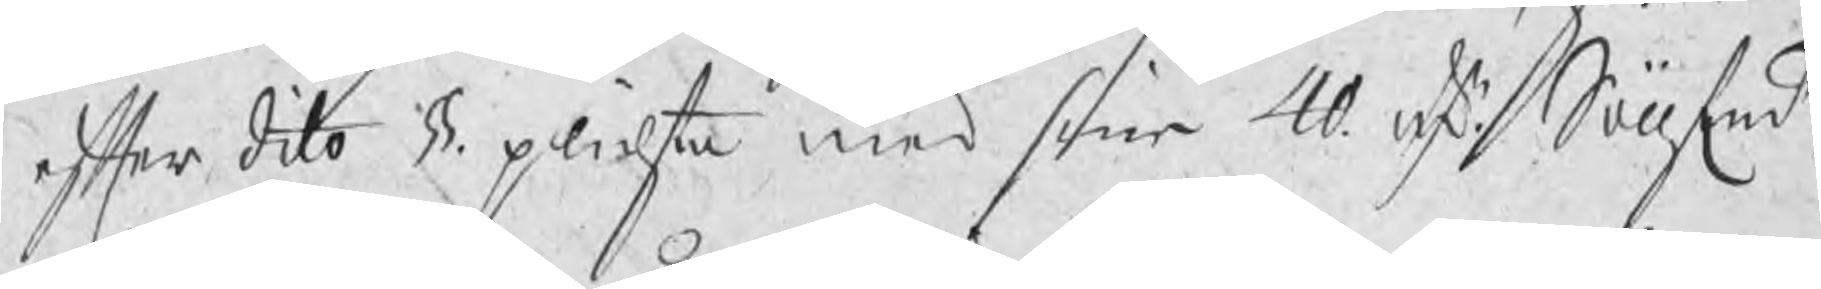efter dito §§. plichta med sine 40 rdr Söllfmt.
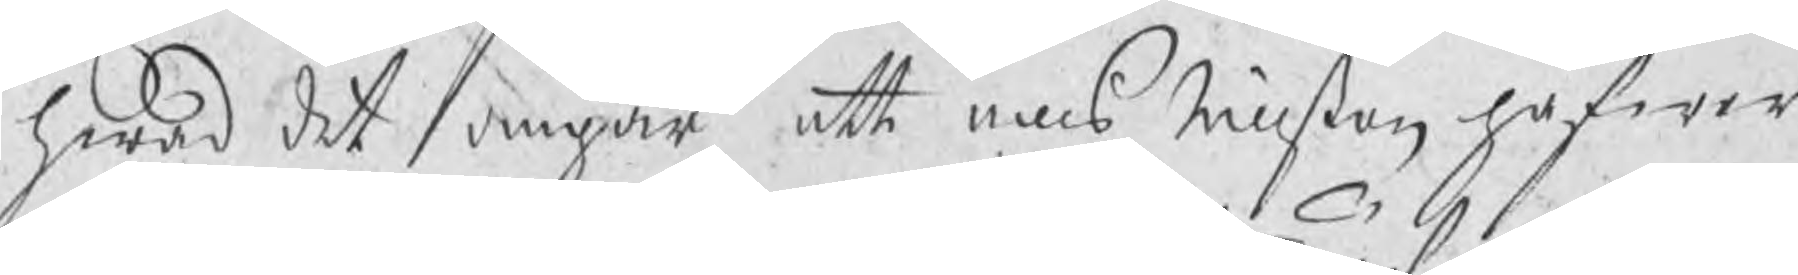hwad det angår att Nills Nillßon hafwer
